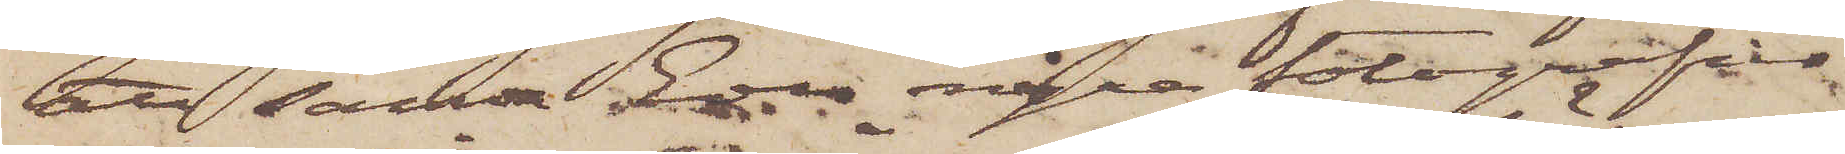att sända några fotografier
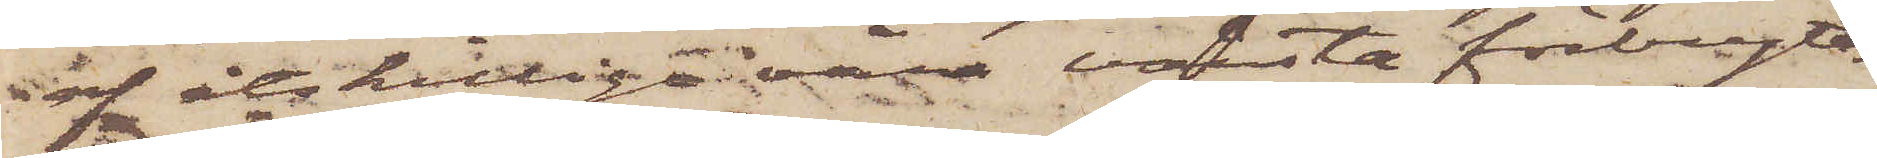af åtskilliga våra värsta förbryta¬
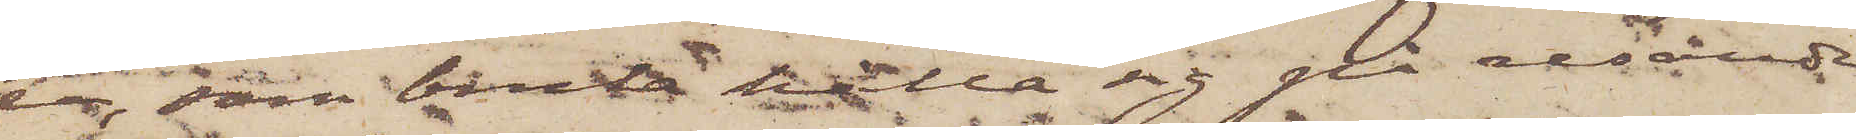re, som bruka hålla sig på resande
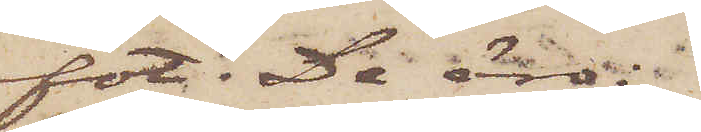fot. De äro:
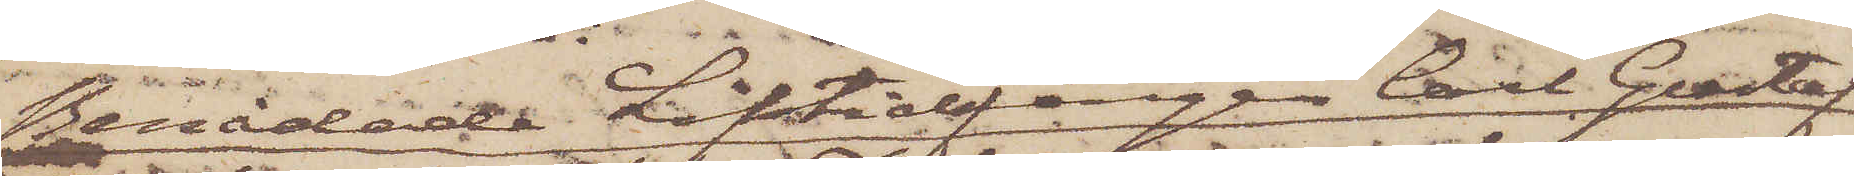Benådade Lifstidsfången Carl Gustaf
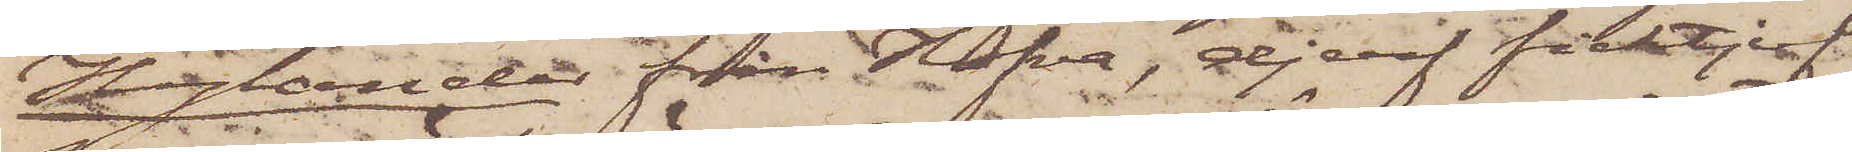Hylander från Hofva, djerf ficktjuf
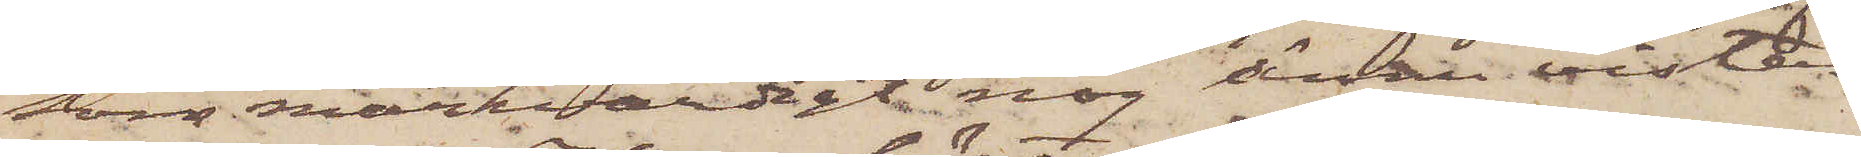som märkvärdigt nog ännu vistas
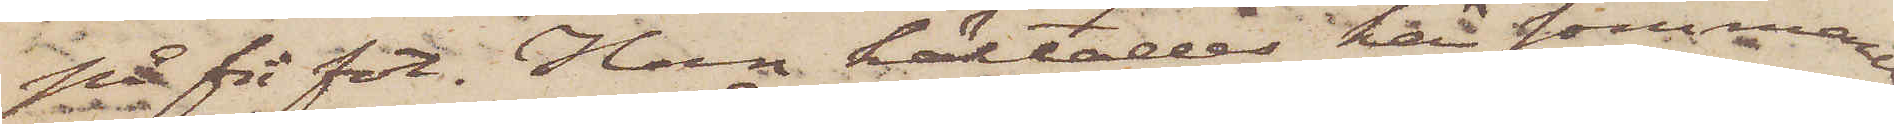på fri fot. Han häktades här sommaren
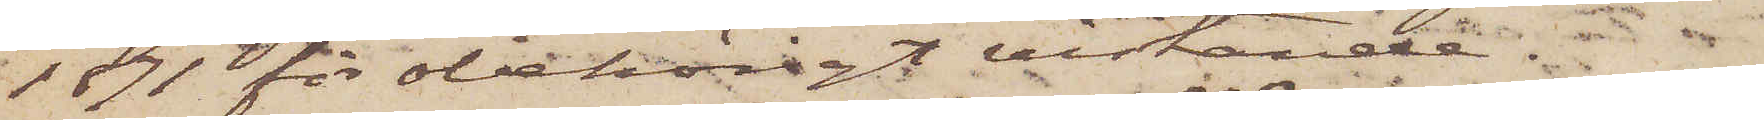1891 för obehörigt vistande. 
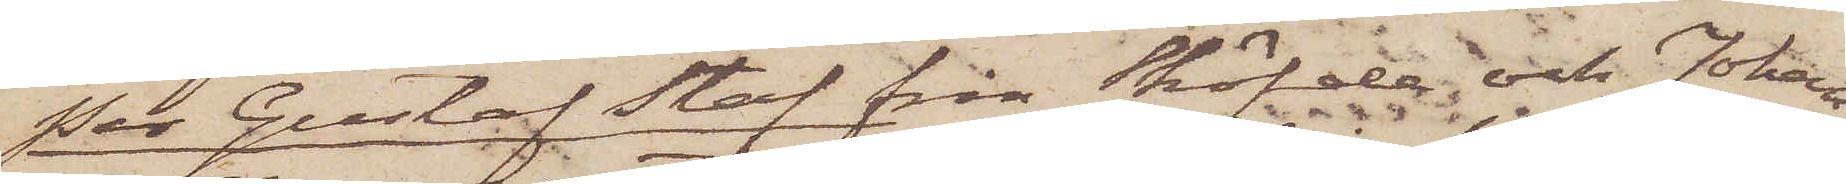Per Gustaf Staf från Sköfde och Johan¬
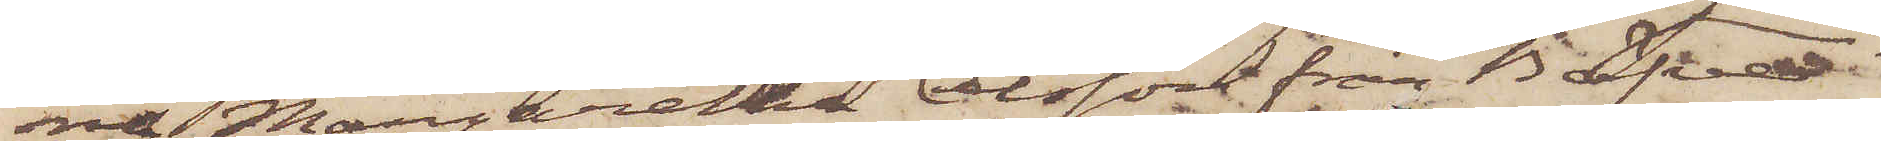na Margaretha Olsson från Bäfve
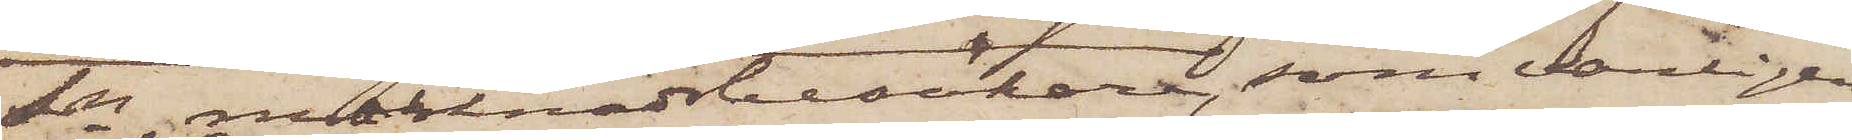Sn, marknadsbesökare, som vanligen
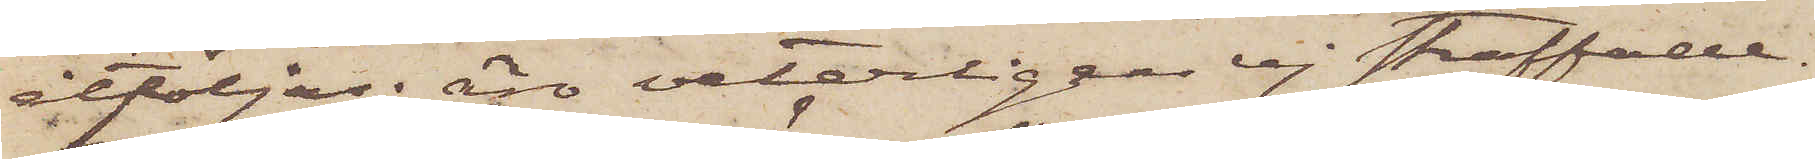åtföljas; äro veterligen ej straffade.
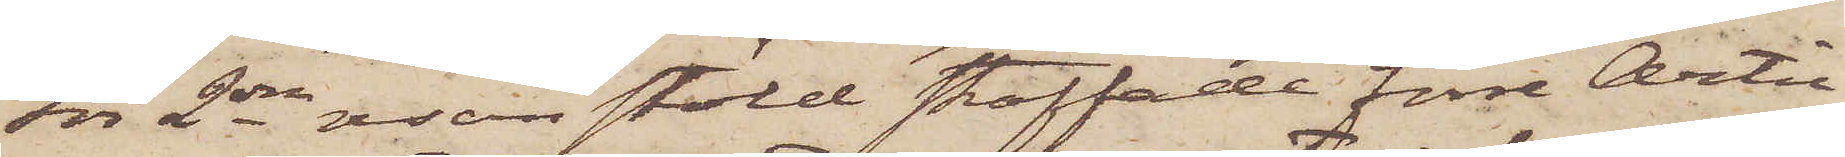För 2dra resan stöld straffade förre Artil¬
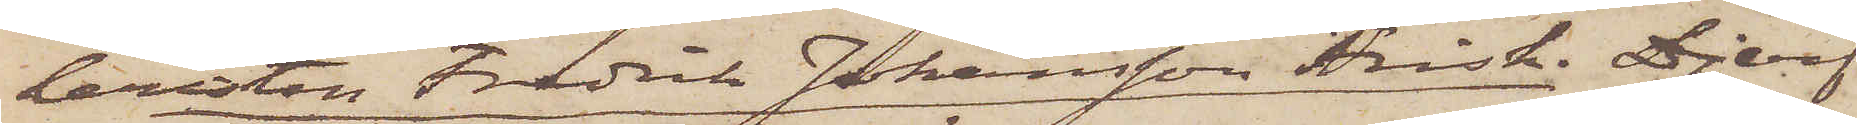leristen Fredrik Johansson Frisk. Djerf
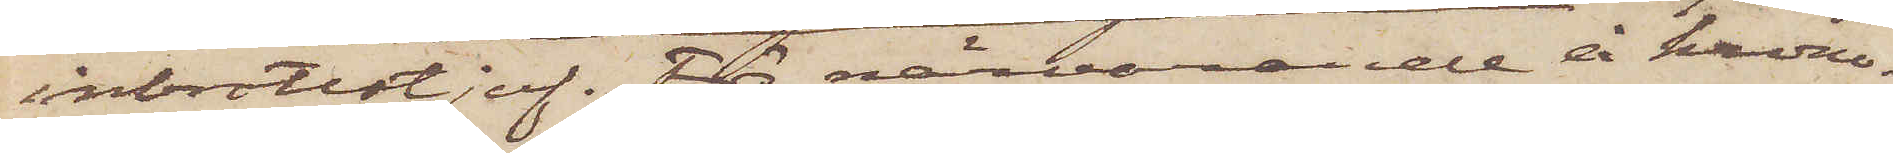inbrottstjuf. För närvarande å krono¬
